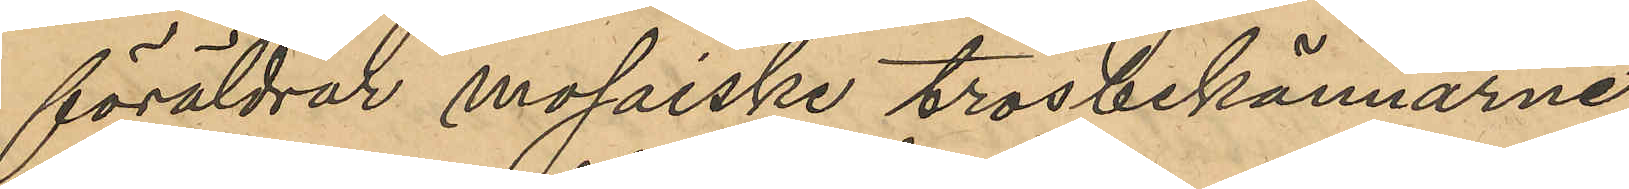föräldrar mosaiske trosbekännarne
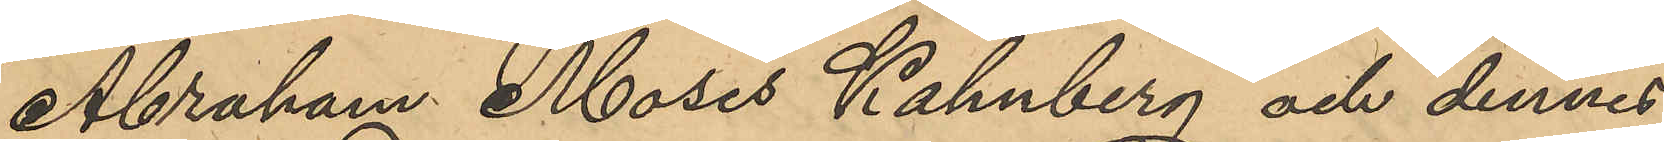Abraham Moses Kahnberg och dennes
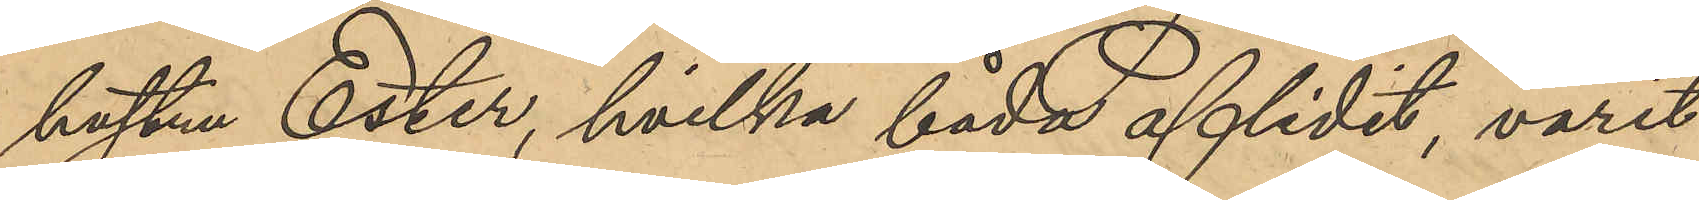hustru Ester, hvilka båda aflidit, varit
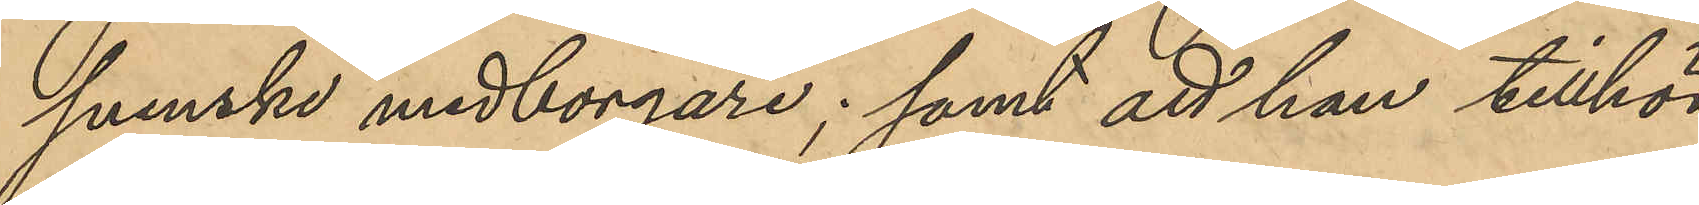svenska medborgare; samt att han tillhör
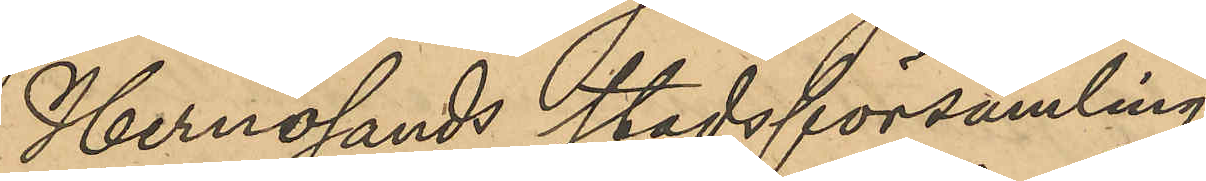Hernösands stadsförsamling.
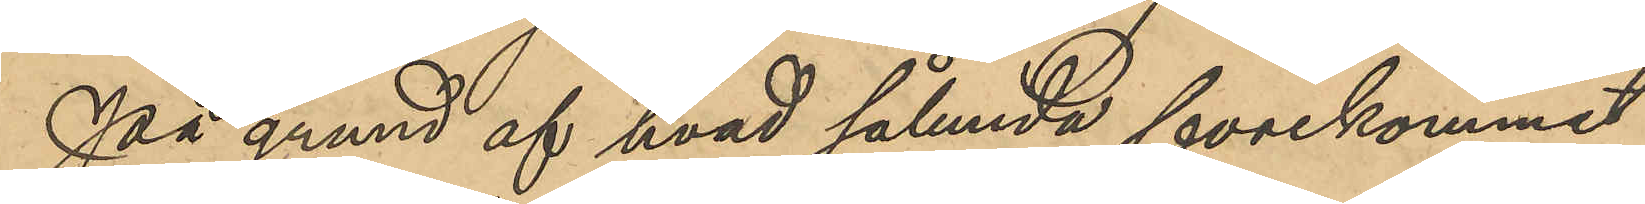På grund af hvad sålunda förekommit
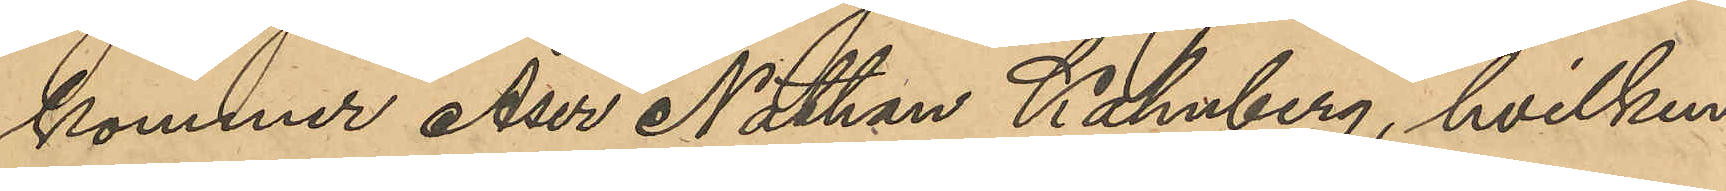kommer Aser Nathan Kahnberg, hvilken
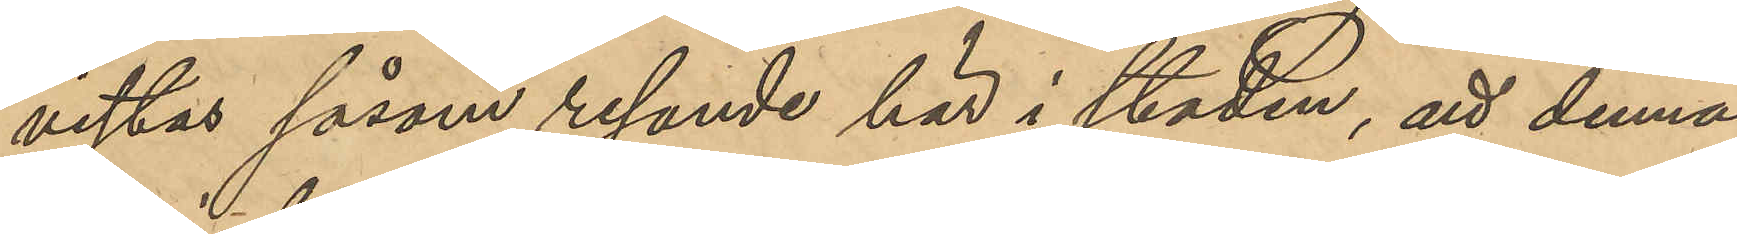vistas såsom resande här i staden, att denna
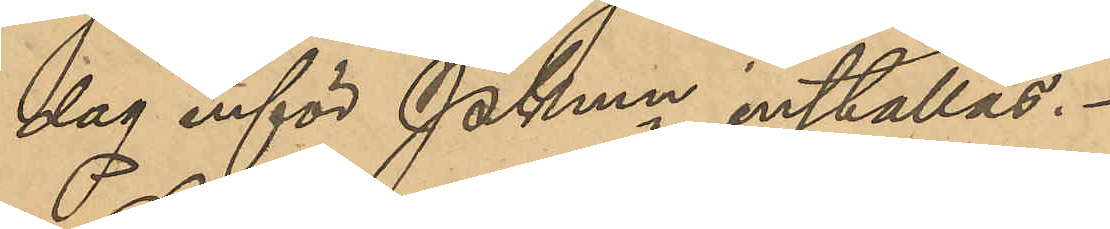dag inför PKmn inställas.
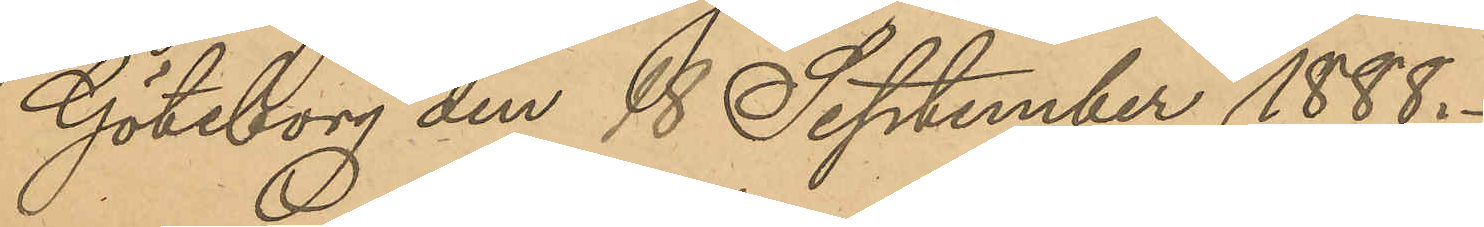Göteborg den 18 September 1888.
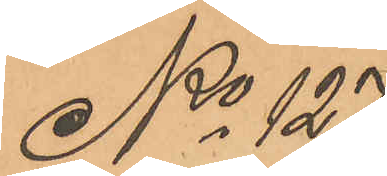No 127
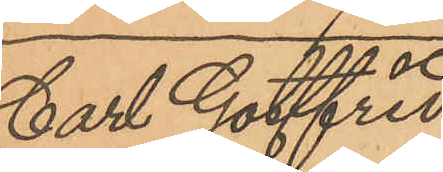Carl Gottfrid
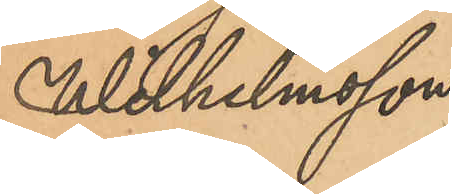Wilhelmsson.
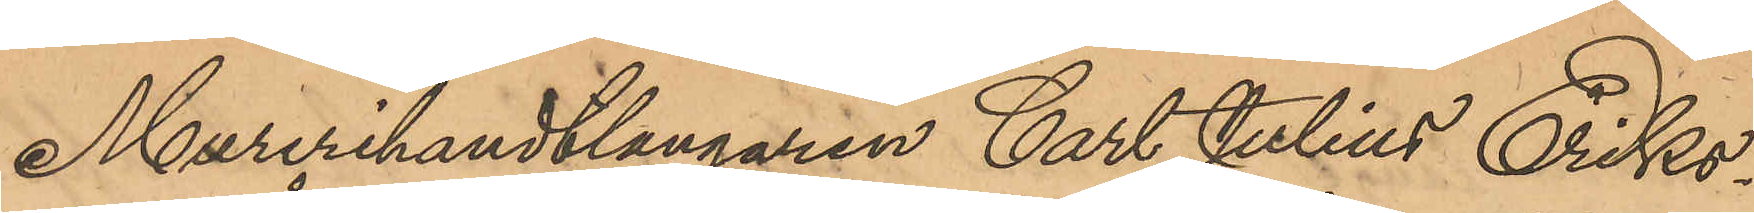Murerihantlangaren Carl Julius Eriks¬
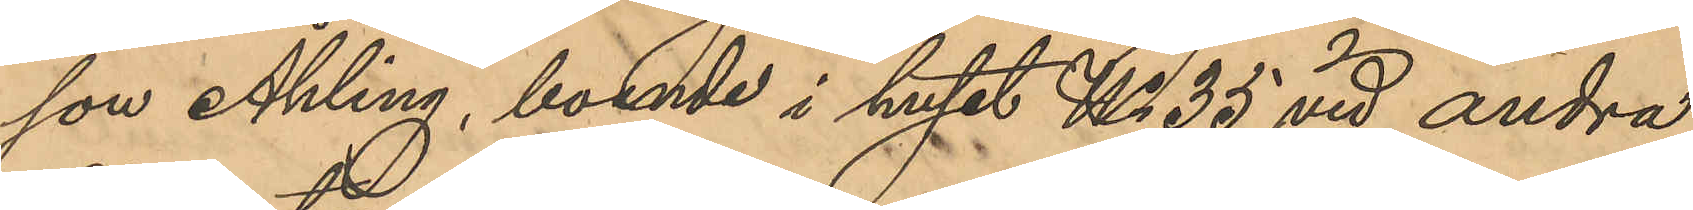son Åhling, boende i huset No 35 vid andra
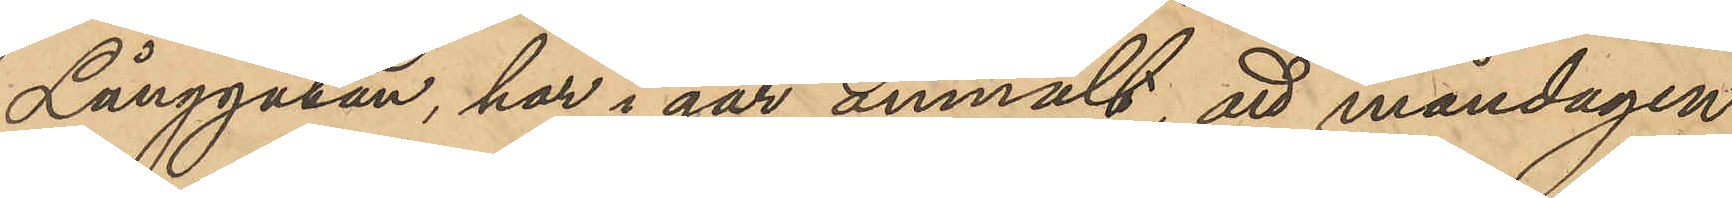Långgatan, har i går anmält, att måndagen
